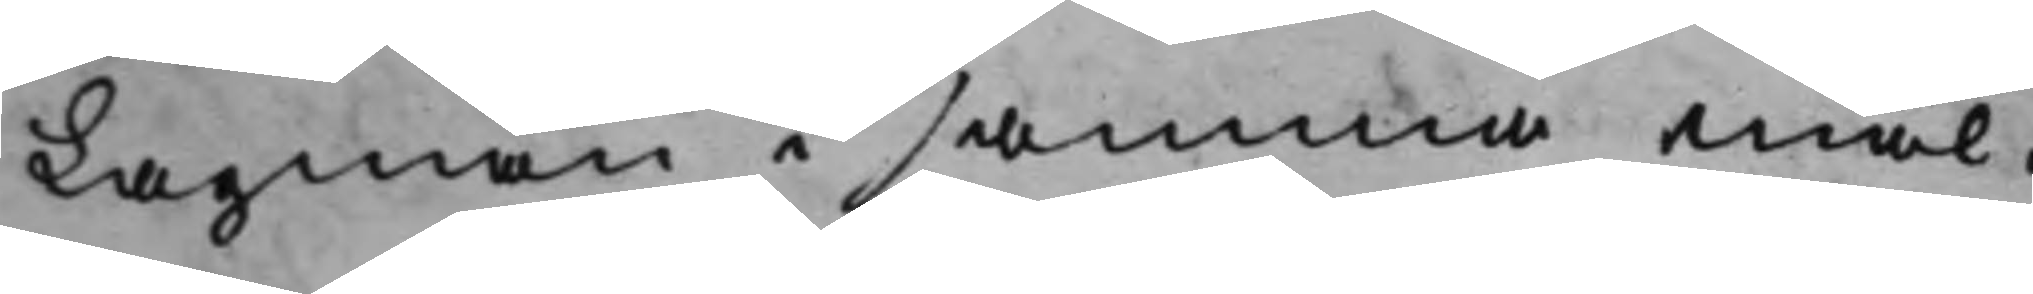Lagman i samma mål.
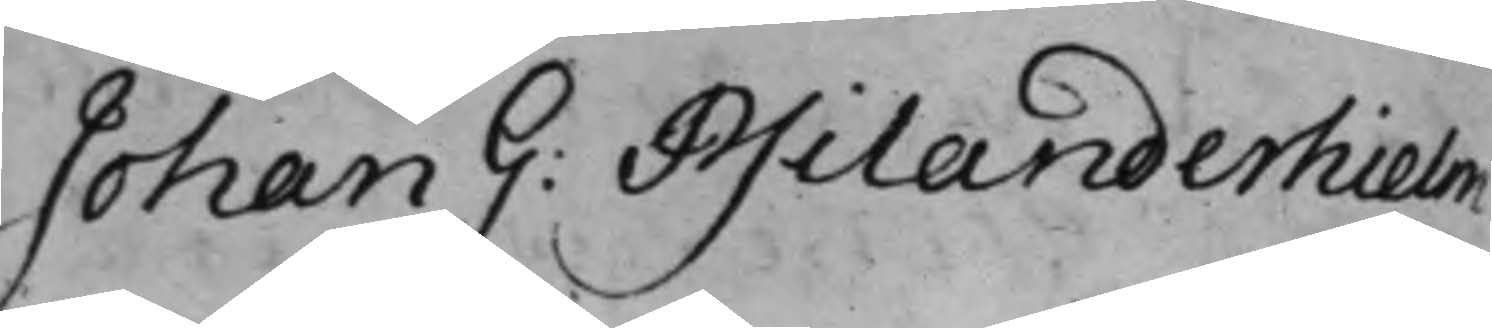Johan G: Psilanderhielm 
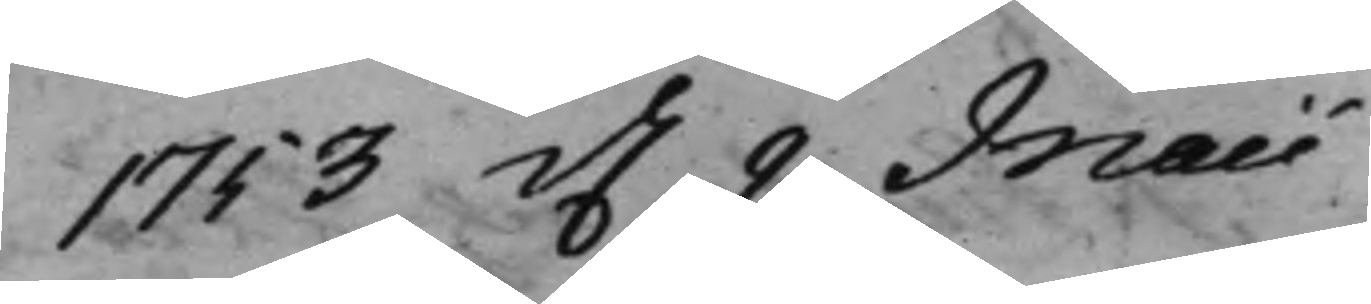1753 d. 9 Maii 
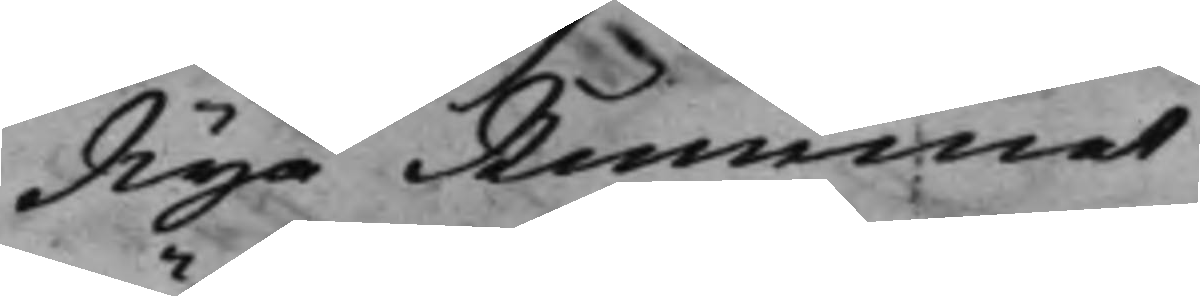Nya Rummet
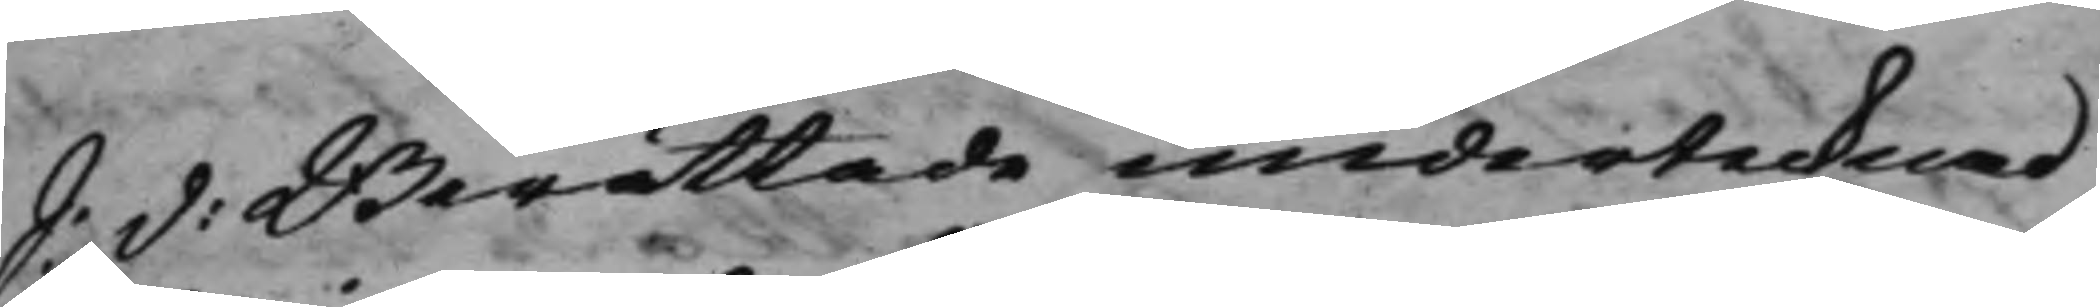S: d: Berättade undertecknad 
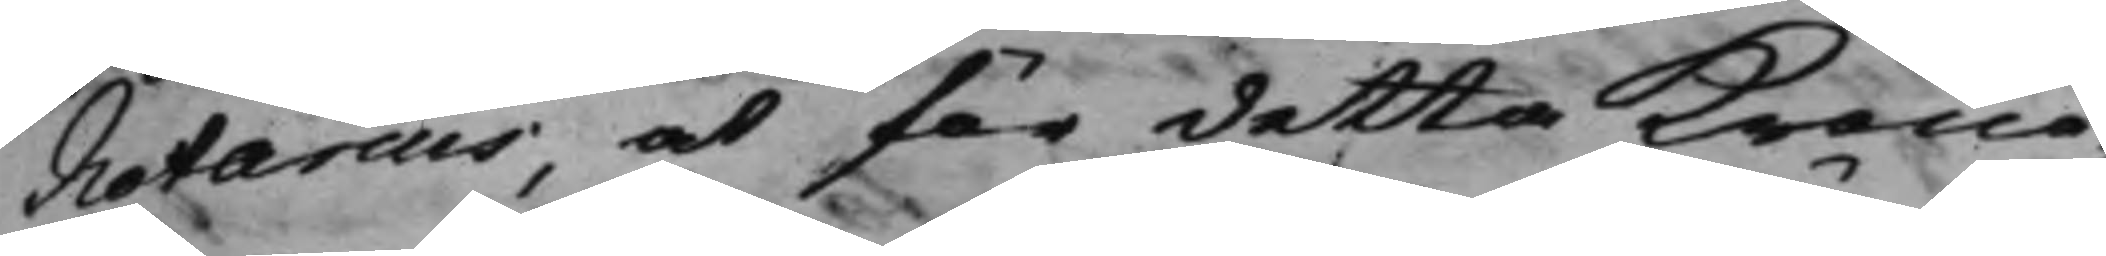Notarius, at för detta Krono¬
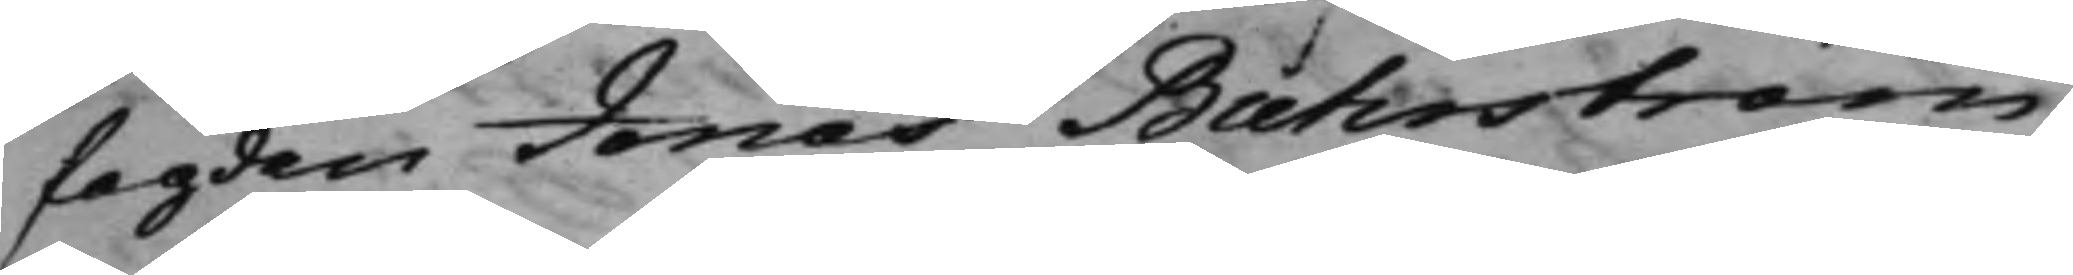fogden Jonas Buhrström,
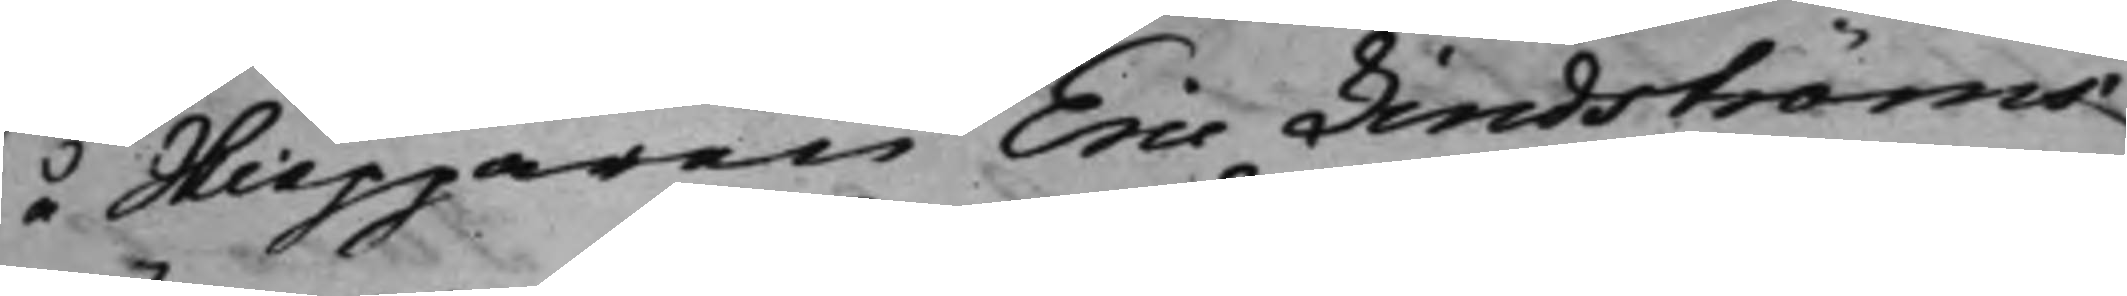å Skiepparen Eric Lindströms
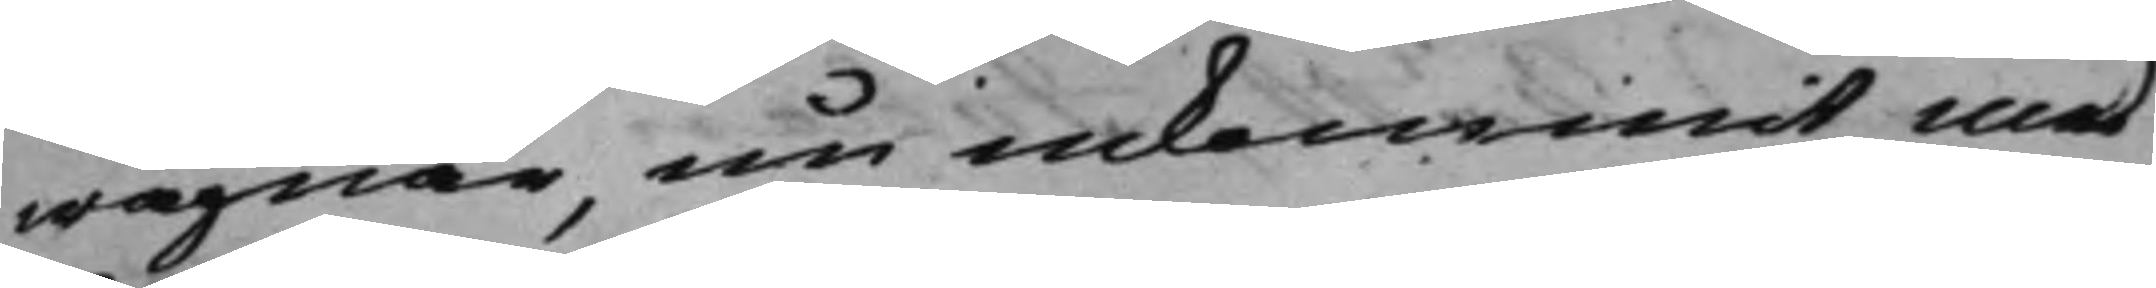wägnar, nu inkommit med
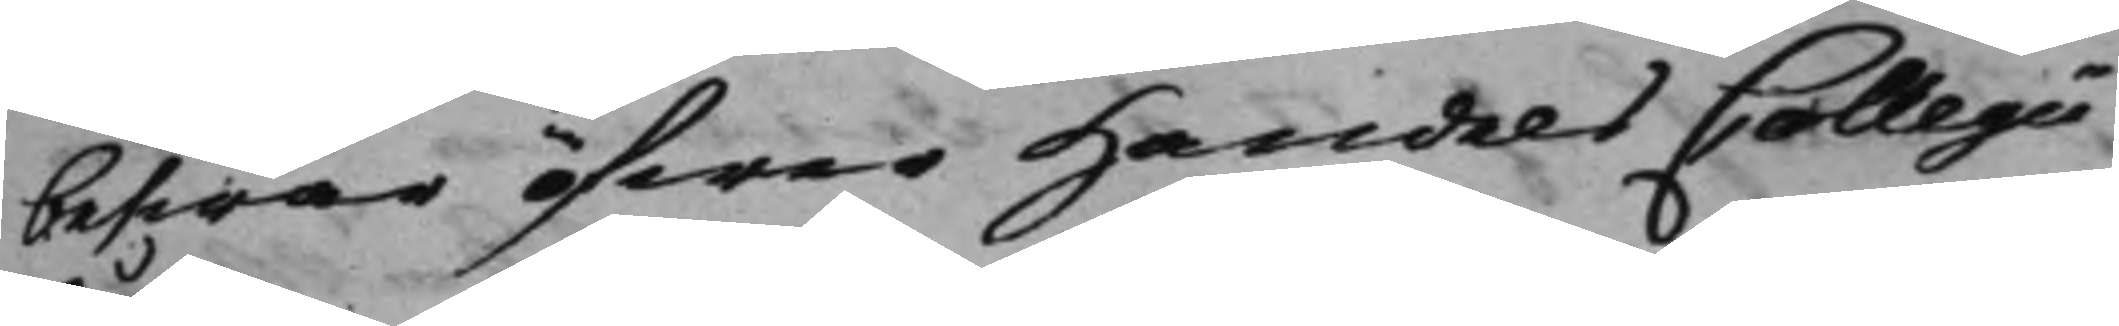beswär öfwer Handels Collegii
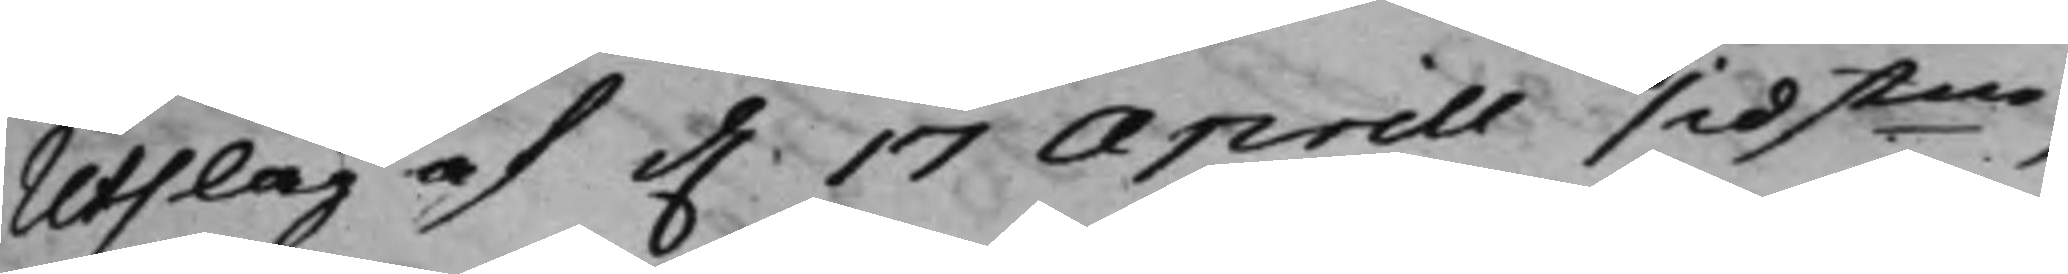Utslag af d. 17 Aprill sidstne, 
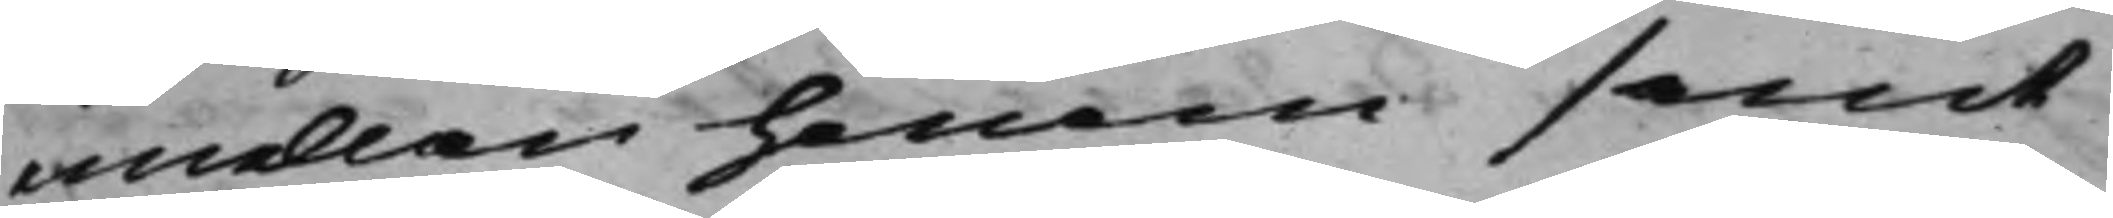emellan honom samt
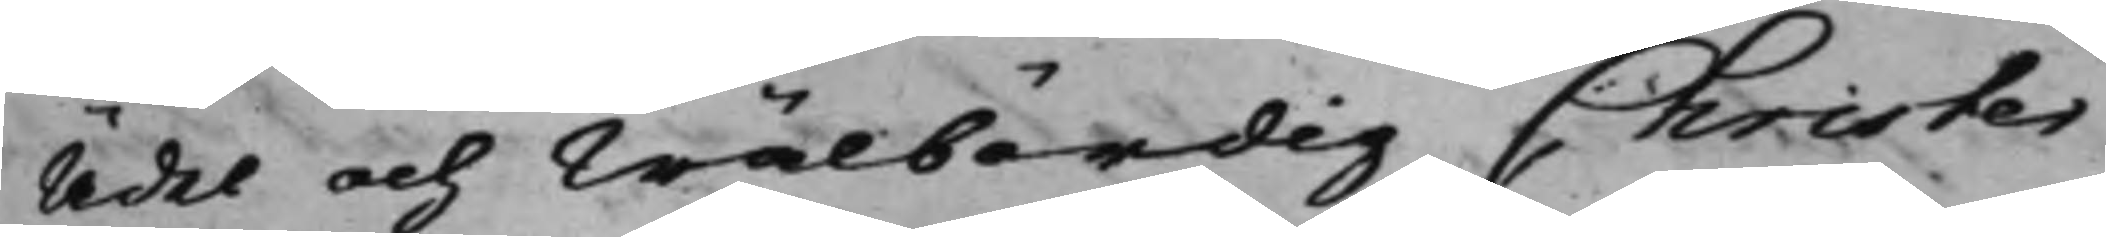Ädel och Wälbördig Christer
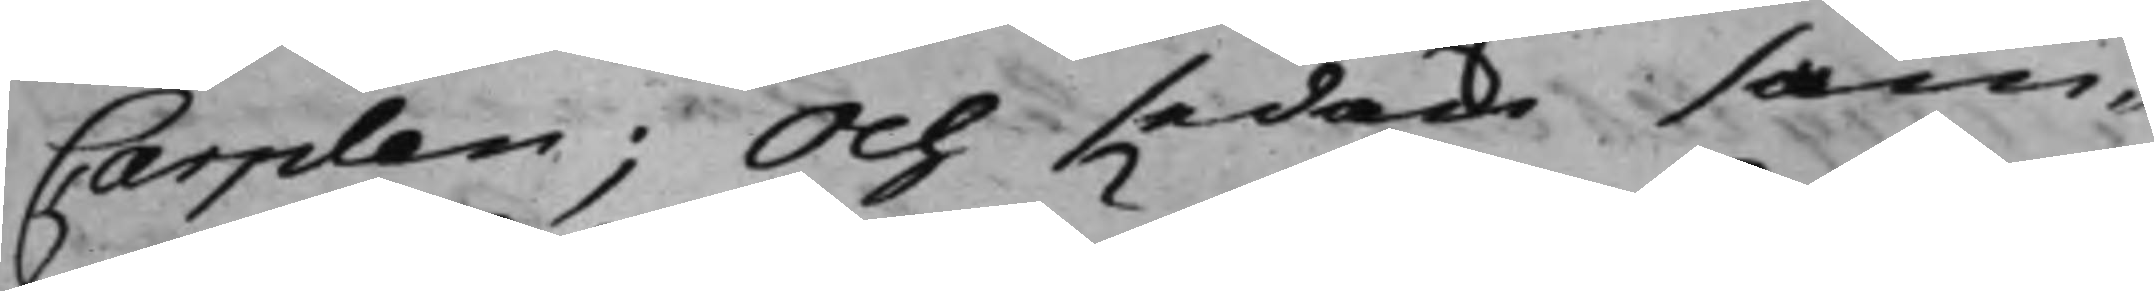Carplan; Och sedan sam¬
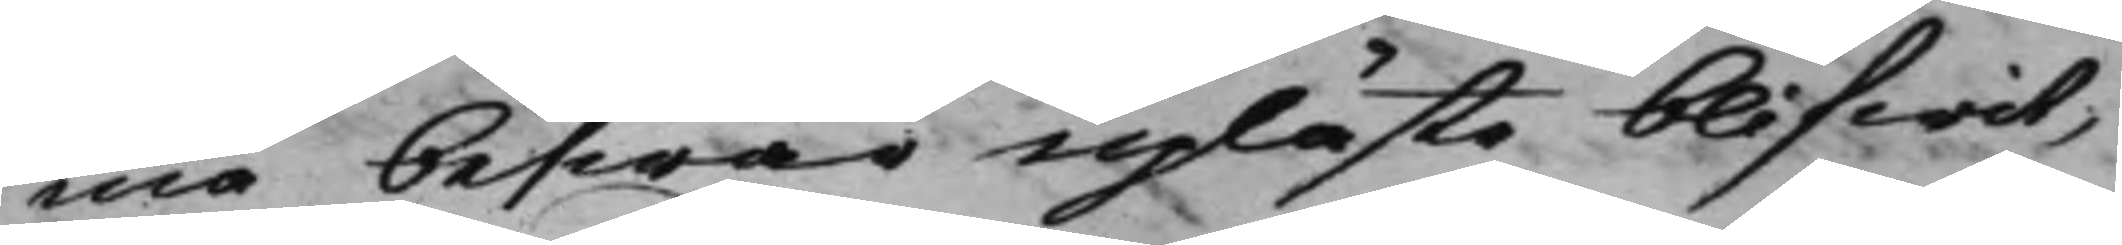ma beswär upläste blifwit,
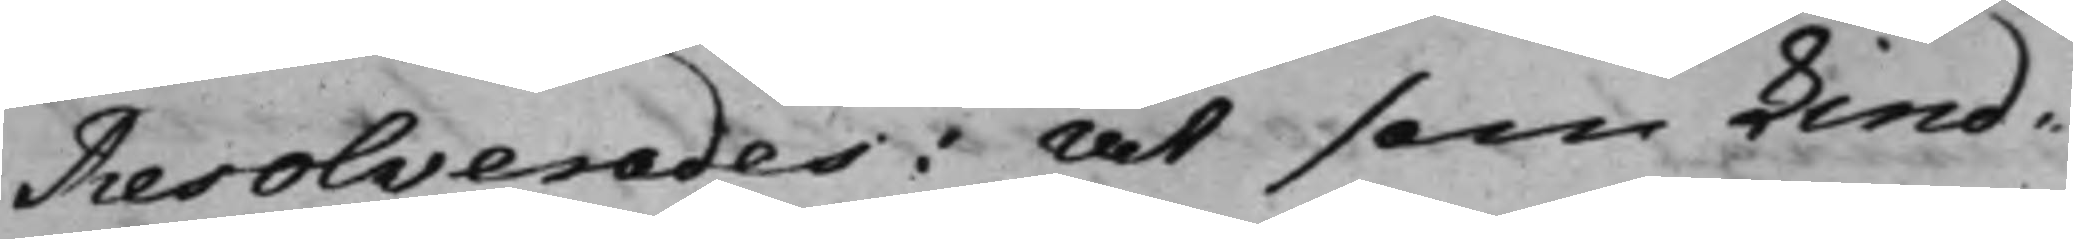Resolverades: At som Lind¬
